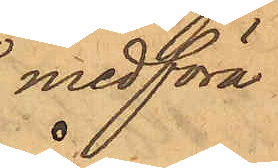för att medföra
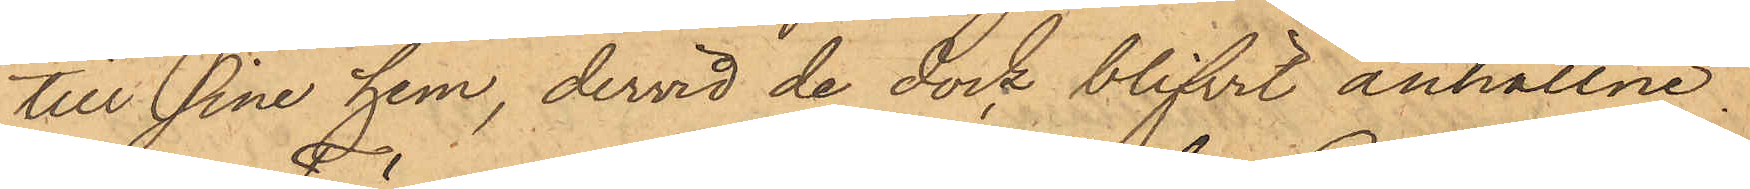till sine hem, dervid de dock blifvit anhållne.
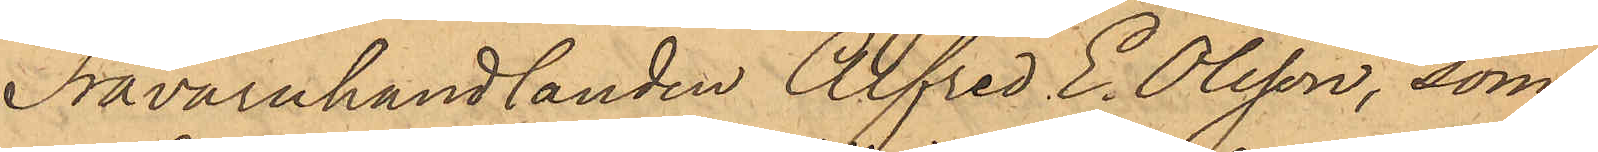Trävaruhandlanden Alfred E. Olsson, som
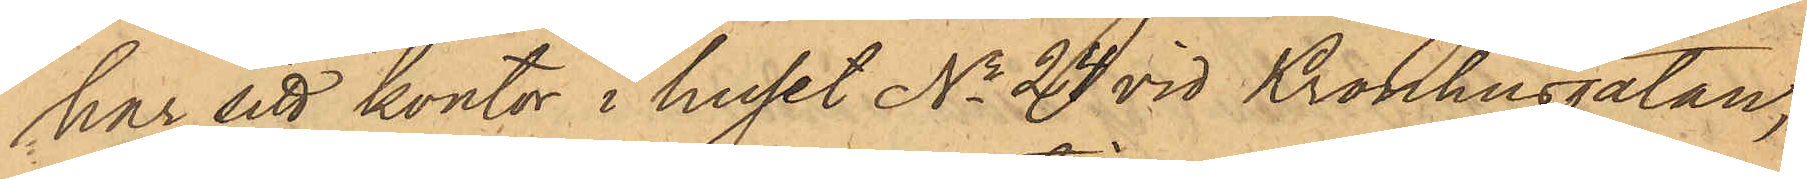har sitt kontor i huset No 24 vid Kronhusgatan,
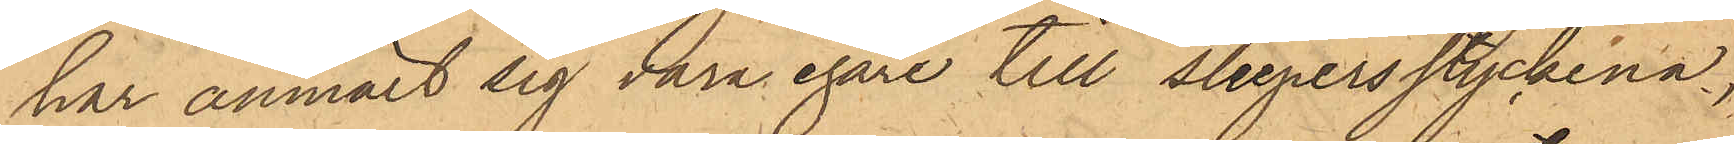har anmält sig vara egare till sleepersstyckena,
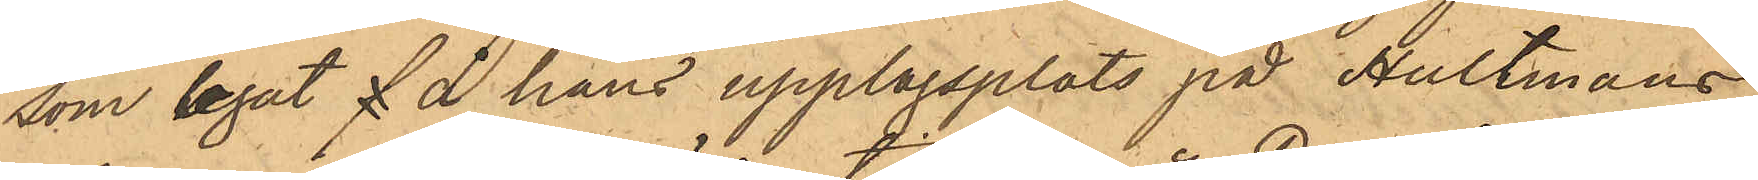som legat å hans upplagsplats på Hultmans
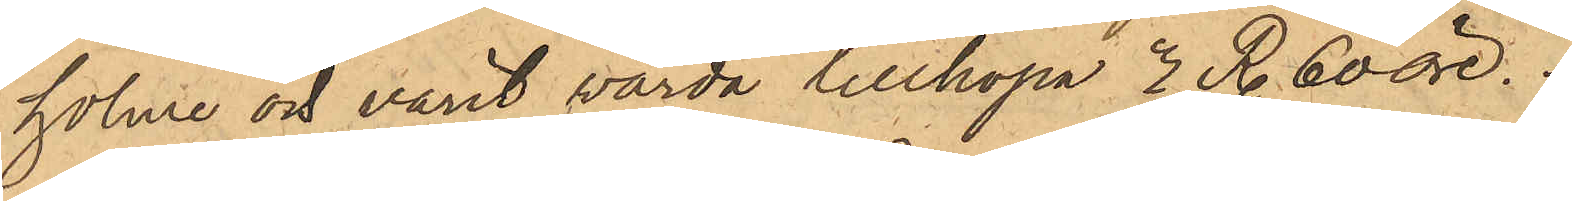holme och varit värda tillhopa 7 Rdr 60 öre.
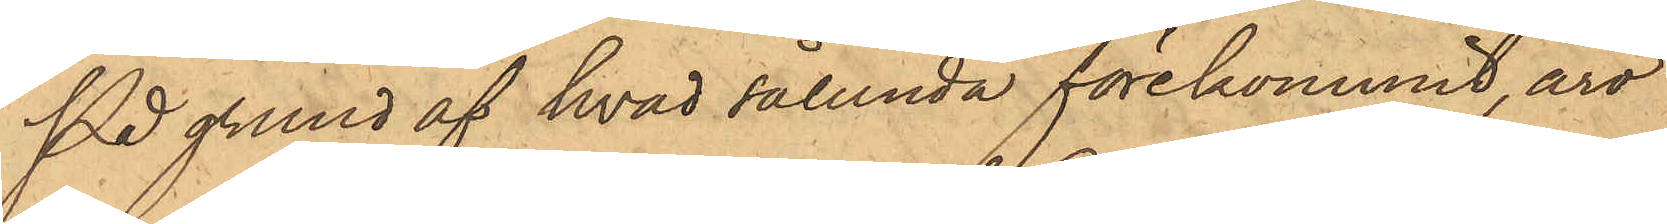På grund af hvad sålunda förekommit, äro
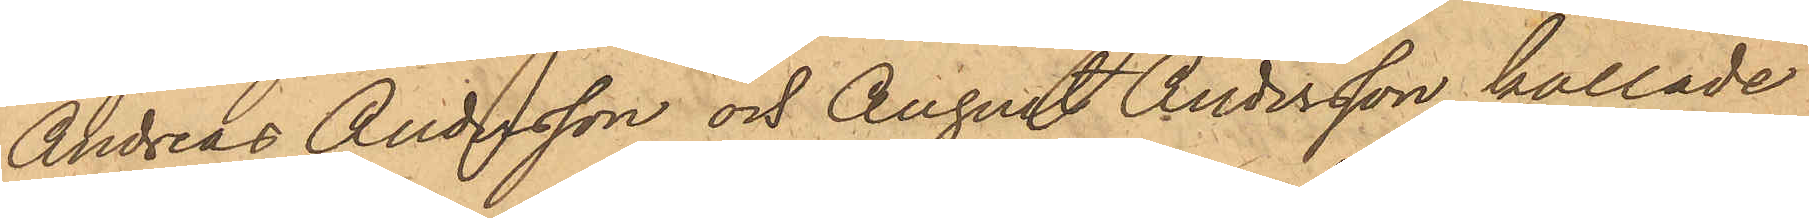Andreas Andersson och August Andersson kallade
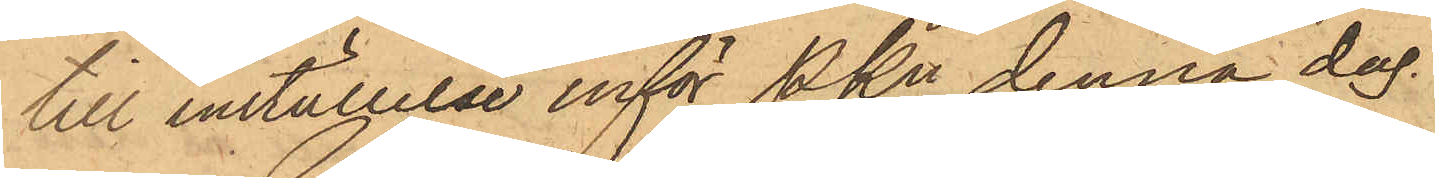till inställelse inför Pkn denna dag.
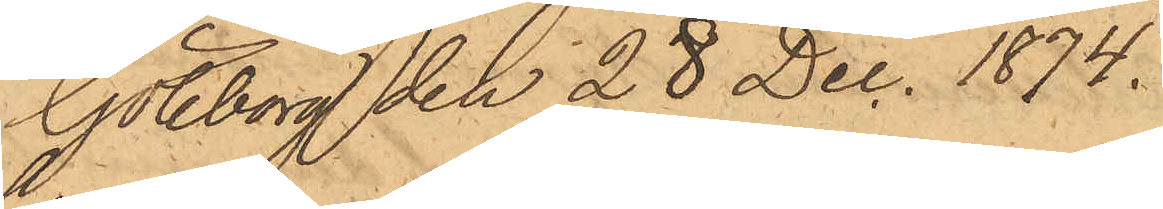Göteborg den 28 Dec. 1874.
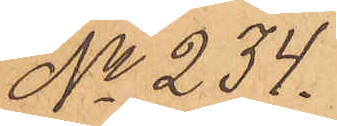No 234.
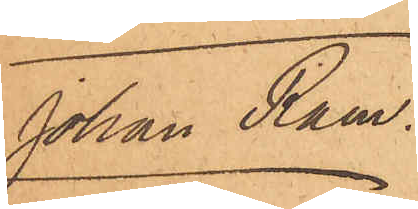Johan Ram.
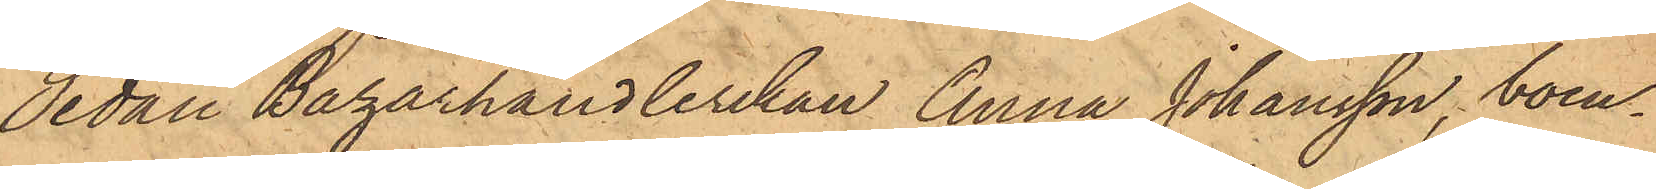Sedan Bazarhandlerskan Anna Johansson, boen¬
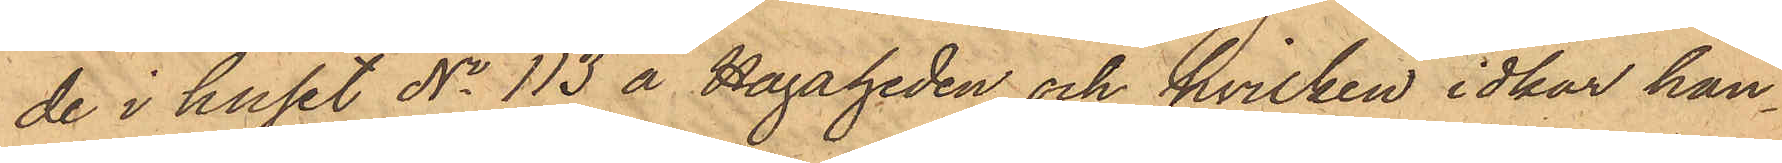de i huset No 113 å Hagaheden och hvilken idkar han¬
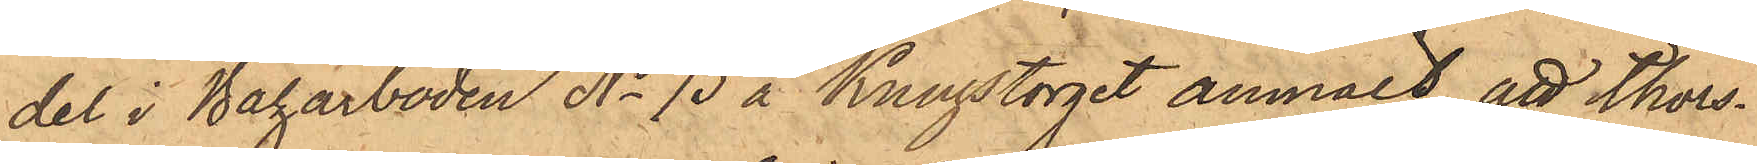del i Bazarboden No 73 å Kungstorget anmält, att thors¬
